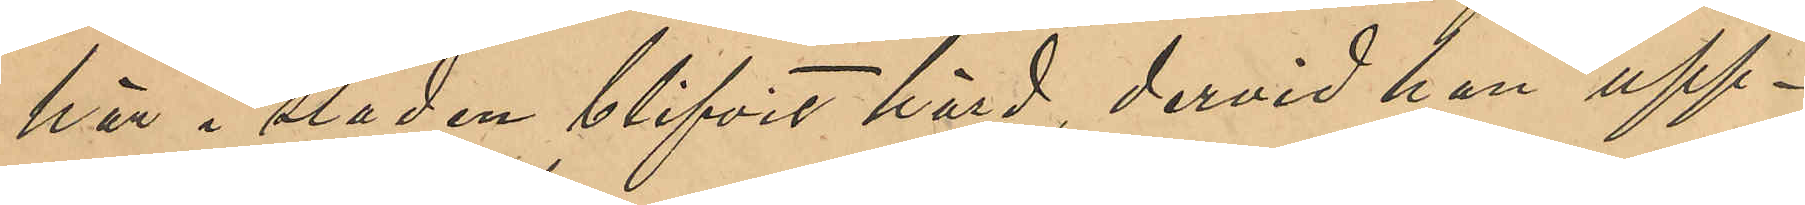här i staden blifvit hörd, dervid han upp¬
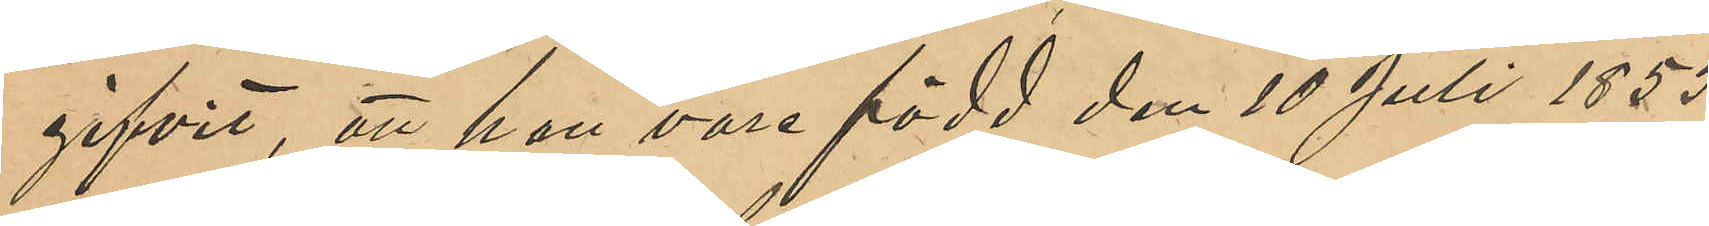gifvit, att han vore född den 10 Juli 1855
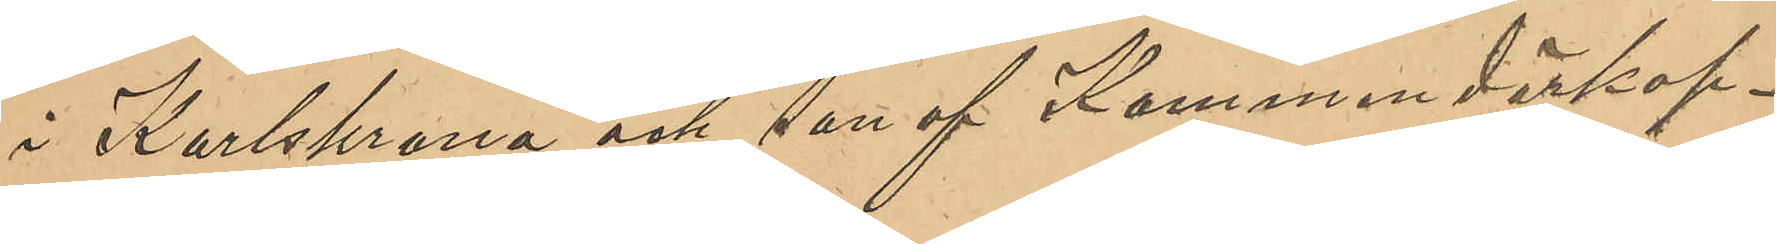i Karlskrona och son af Kommendörkap¬
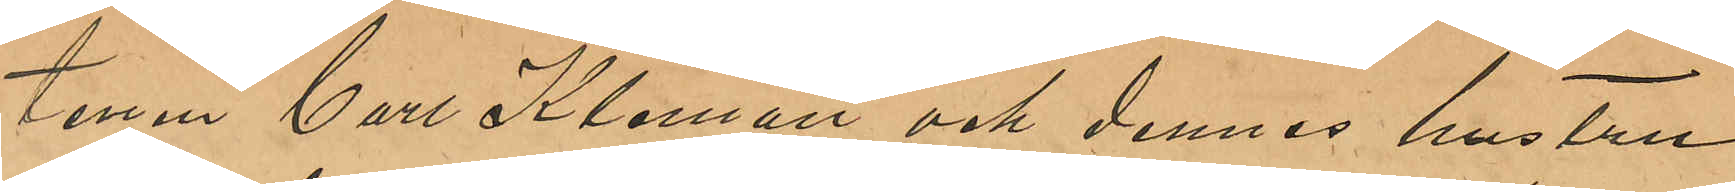tenen Carl Kleman och dennes hustru
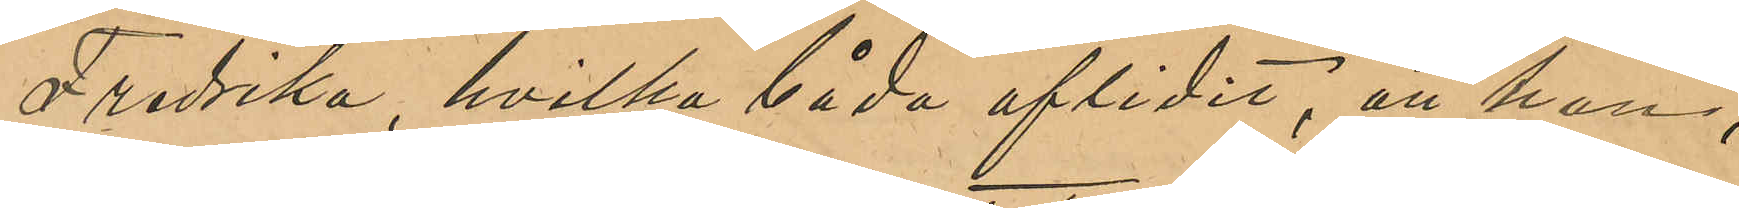Fredrika, hvilka båda aflidit, att han,
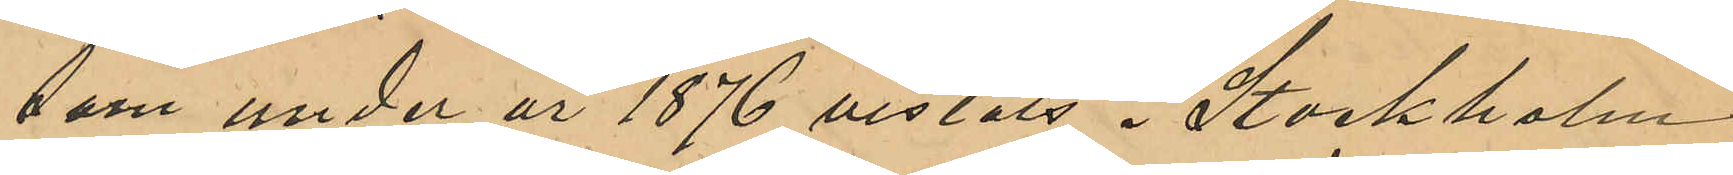som under år 1876 vistats i Stockholm
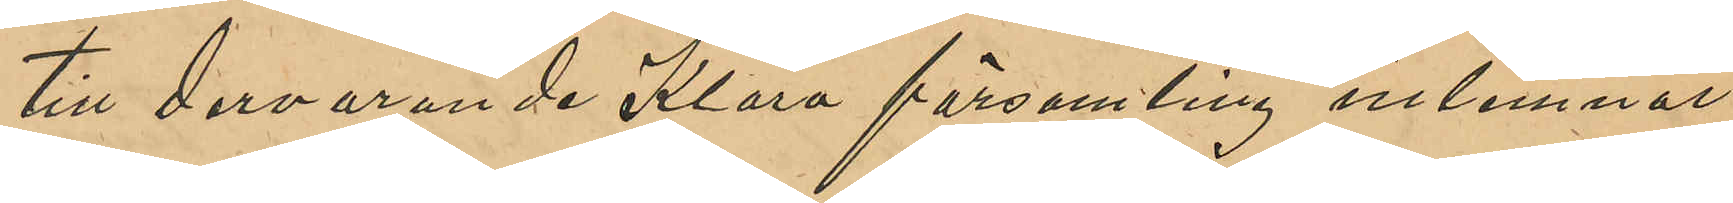till dervarande Klara församling inlemnat
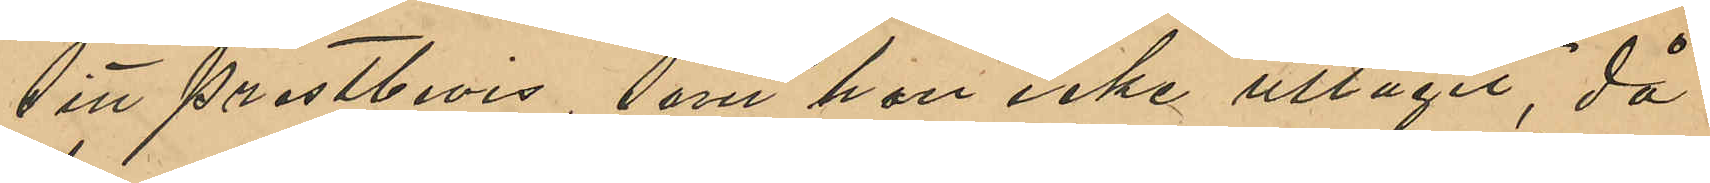sitt prestbevis, som han icke uttagit, då
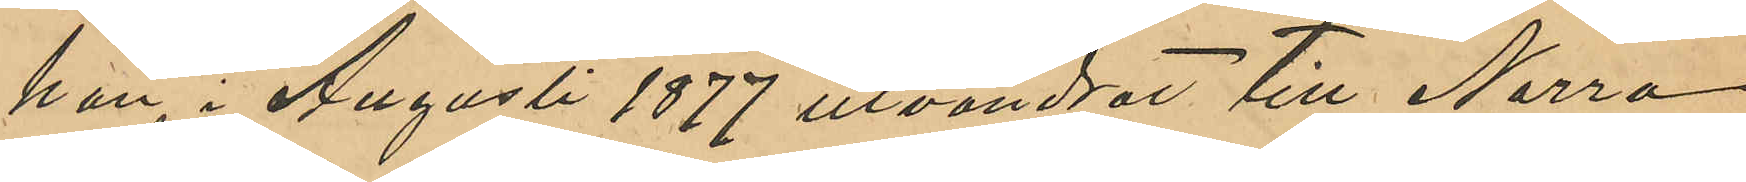han i Agusti 1877 utvandrat till Norra
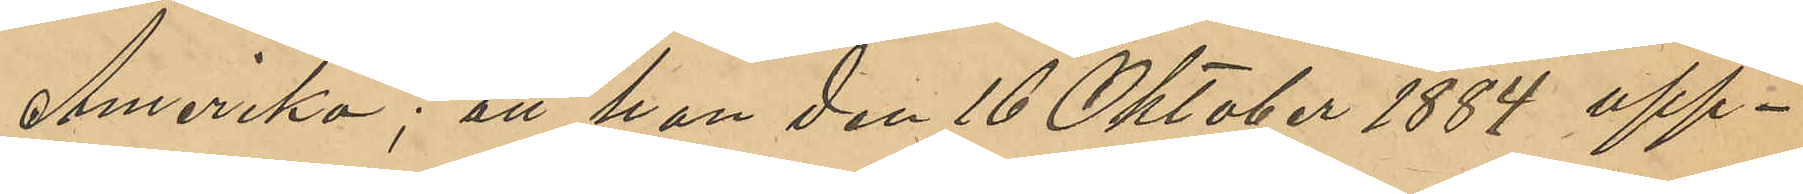Amerika; att han den 16 Oktober 1884 upp¬
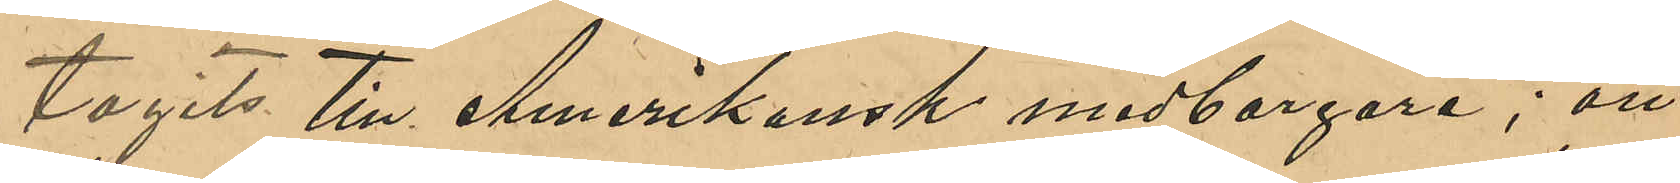tagits till Amerikansk medborgare; att
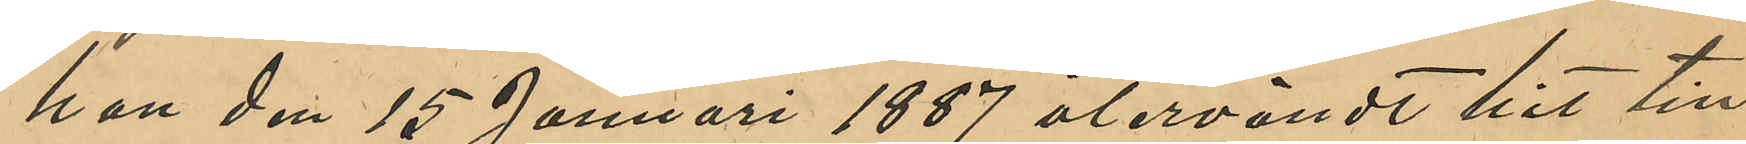han den 15 Januari 1887 återvändt hit till
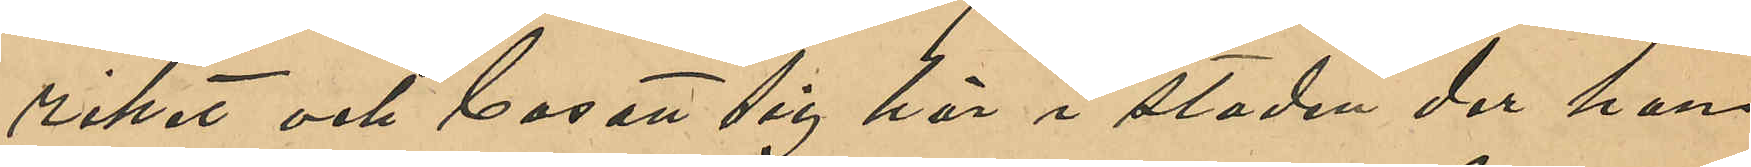riket och bosatt sig här i staden der han
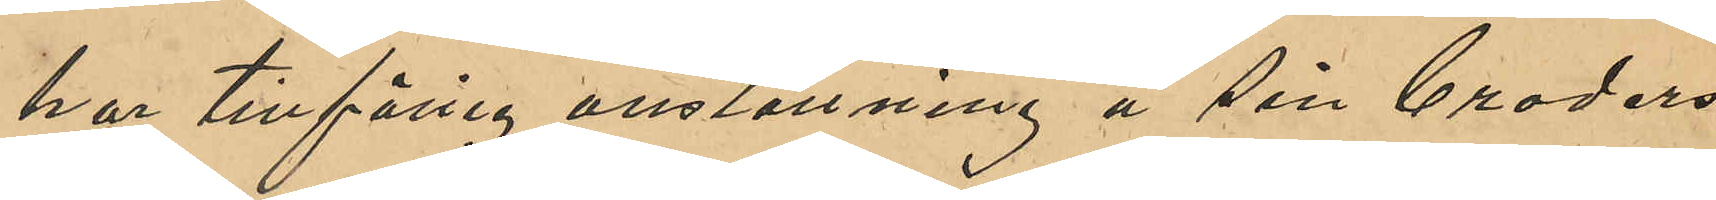har tillfällig anställning å sin broders
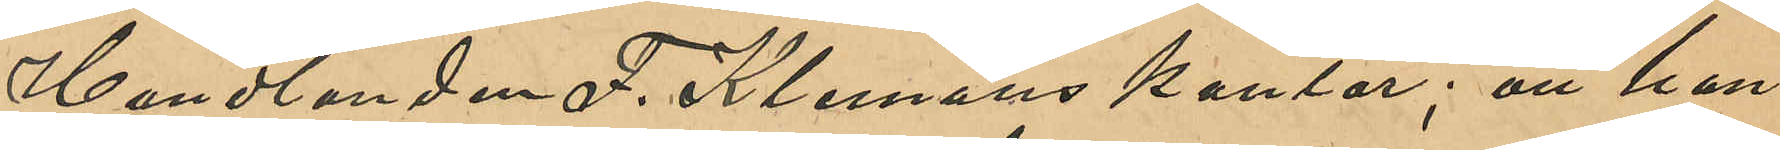Handlanden F. Klemans kontor; att han
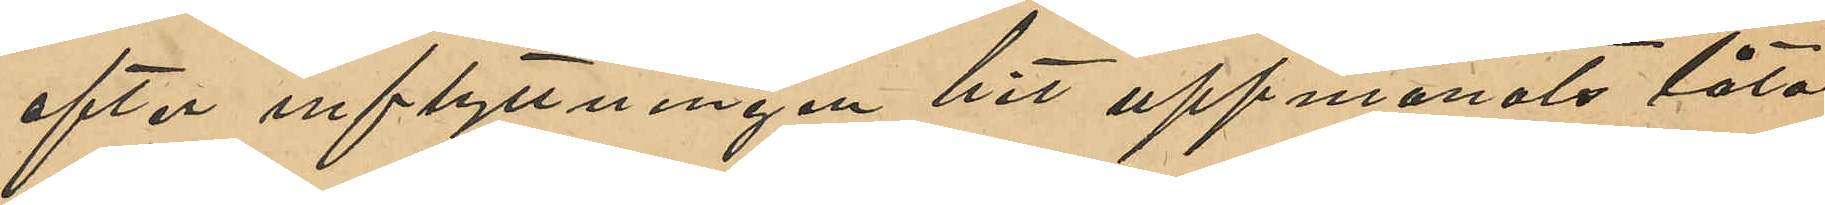efter inflyttningen hit uppmanats låta
